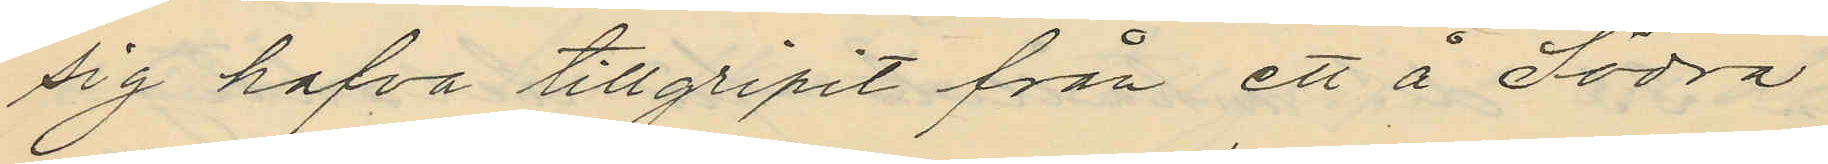sig hafva tillgripit från ett å Södra
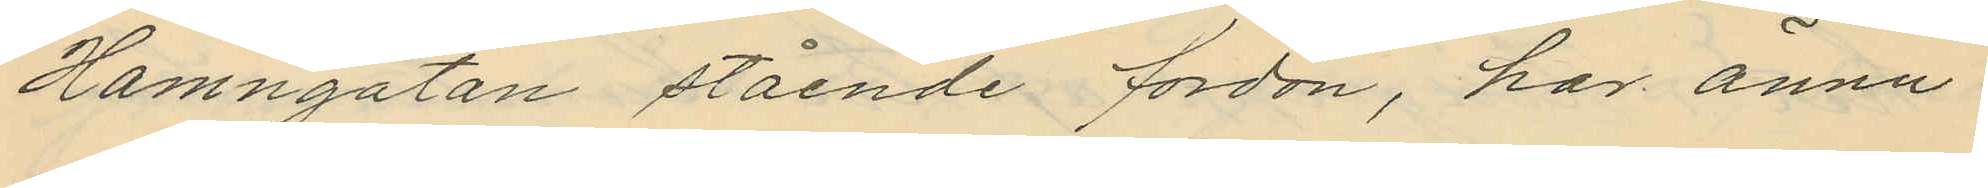Hamngatan stående fordon, har ännu
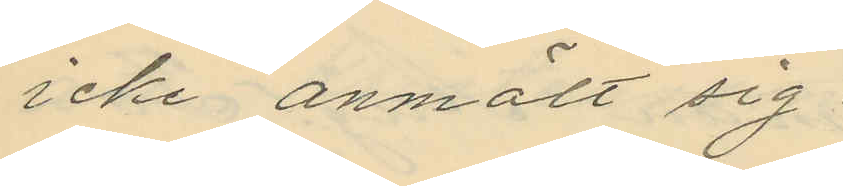icke anmält sig.
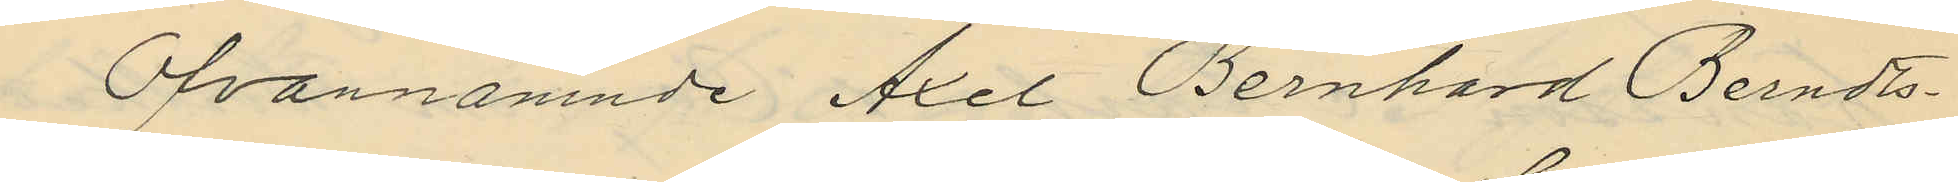Ofvannämnde Axel Bernhard Berndts¬
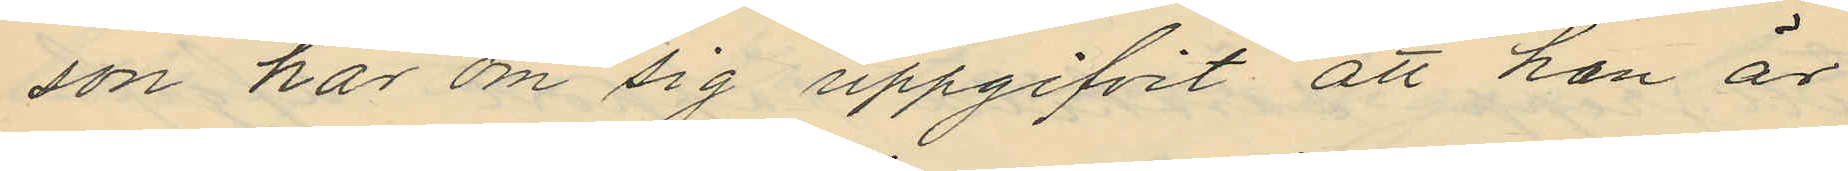son har om sig uppgifvit att han är
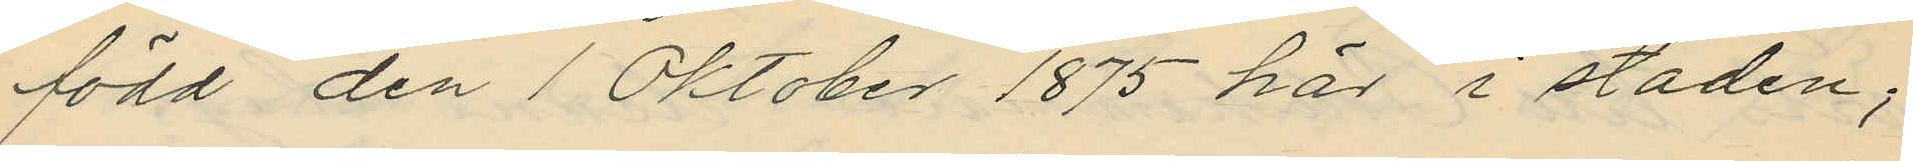född den 1 Oktober 1875 här i staden;
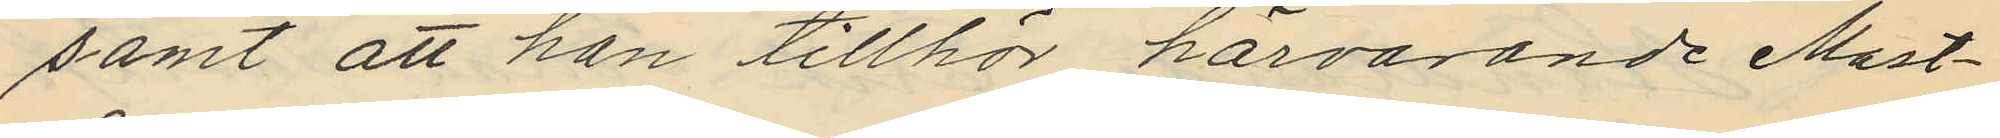samt att han tillhör härvarande Mast¬
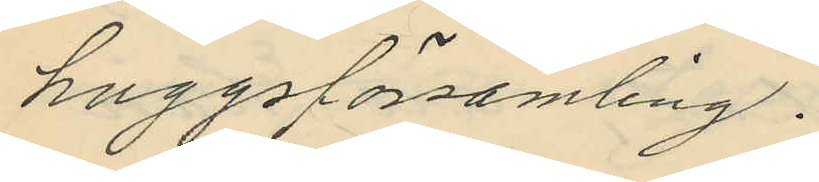huggsförsamling.
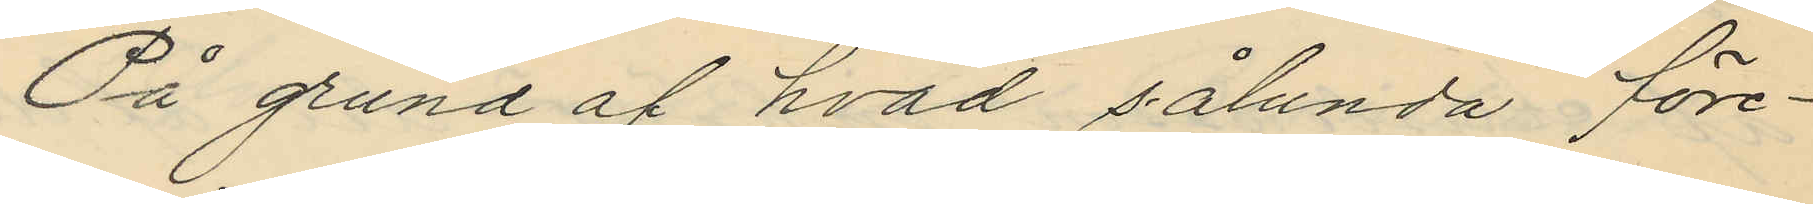På grund af hvad sålunda före¬
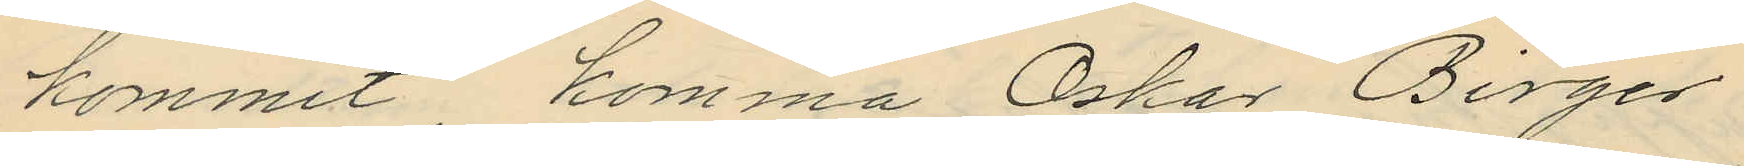kommit komma Oskar Birger
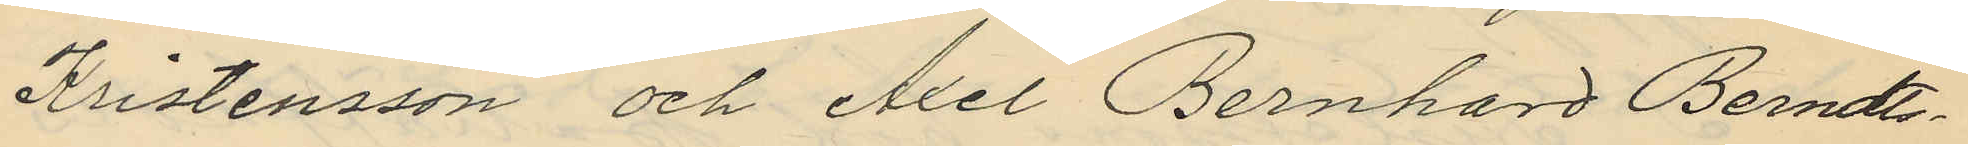Kristensson och Axel Bernhard Berndts¬
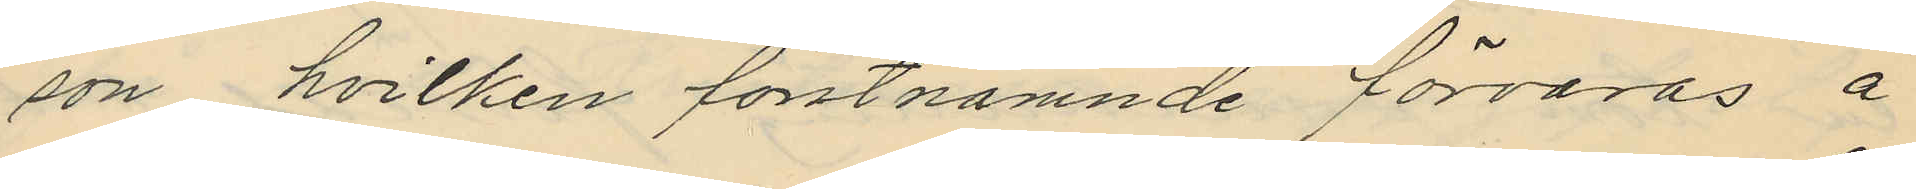son, hvilken förstnämnde förvaras å
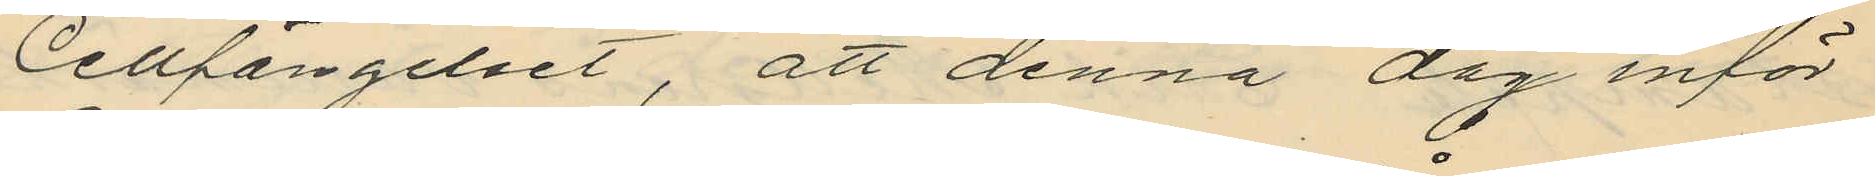Cellfängelset, att denna dag inför
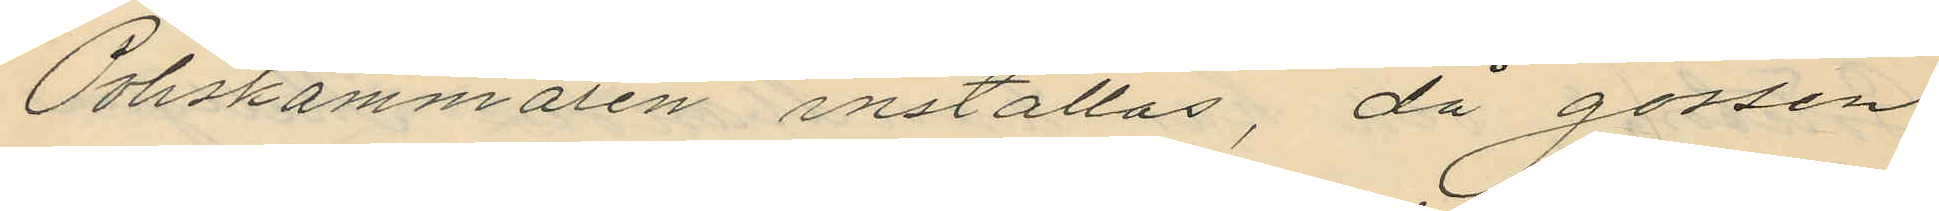Poliskammaren inställas, då gossen
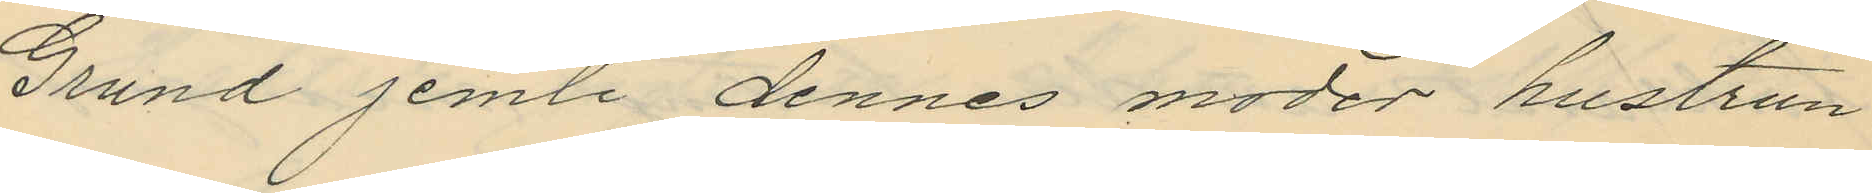Grund jemte dennes moder hustrun
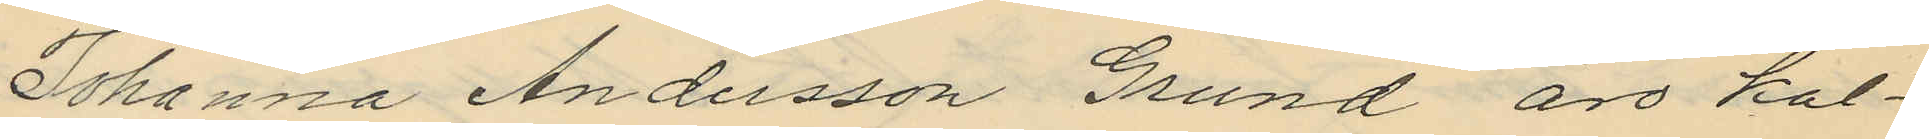Johanna Andersson Grund äro kal¬
